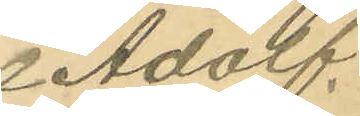Adolf
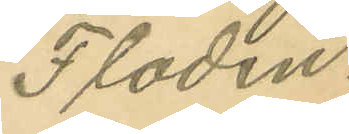Flodin.
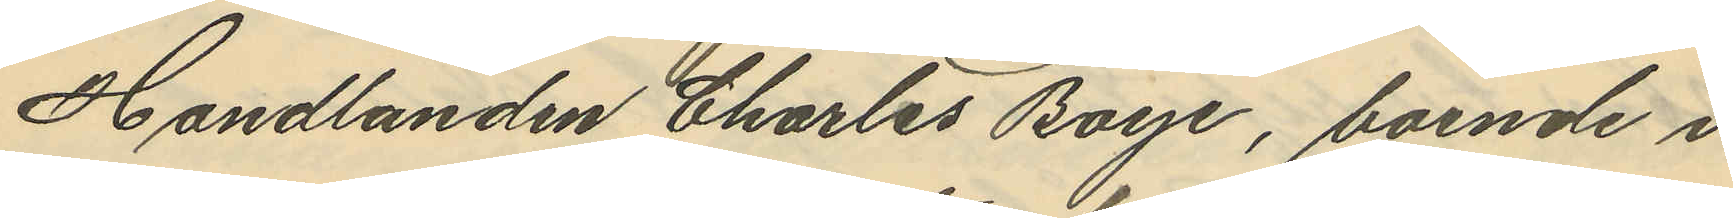Handlanden Charles Boye, boende i
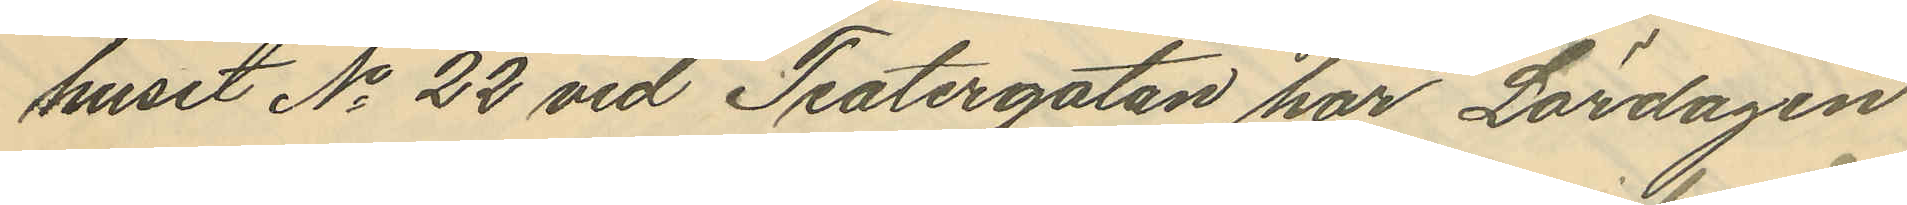huset No 22 vid Teatergatan har Lördagen
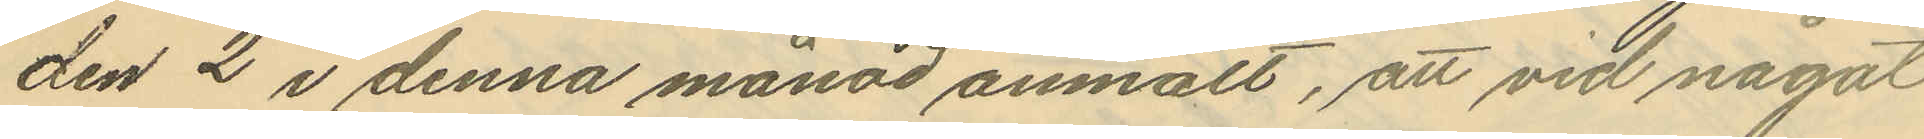den 2 i denna månad anmält, att vid något
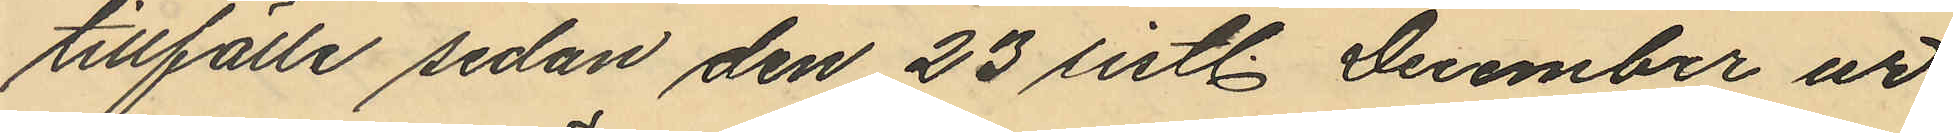tillfälle sedan den 23 sistl. December ur
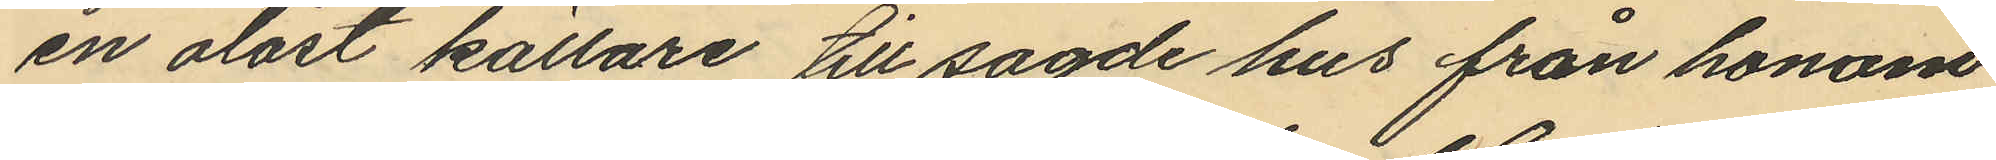en olåst källare till sagde hus från honom
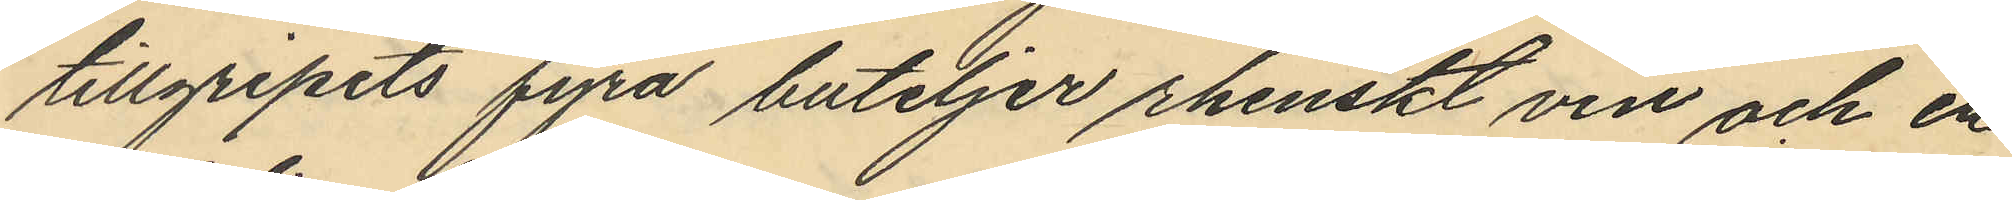tillgripits fyra buteljer rhenskt vin och en
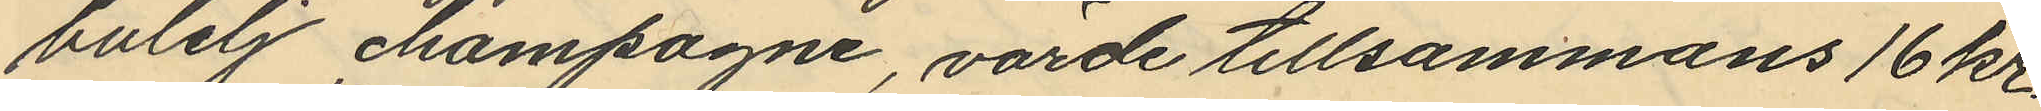butelj champagne, värde tillsammans 16 kr.
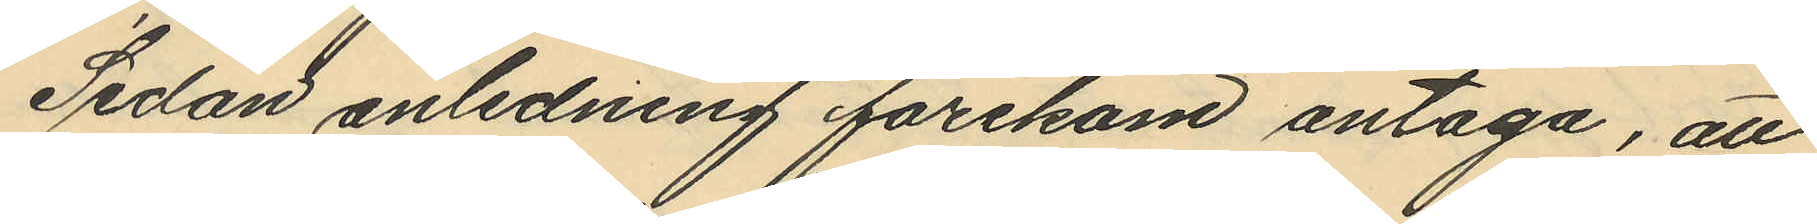Sedan anledning förekom antaga, att
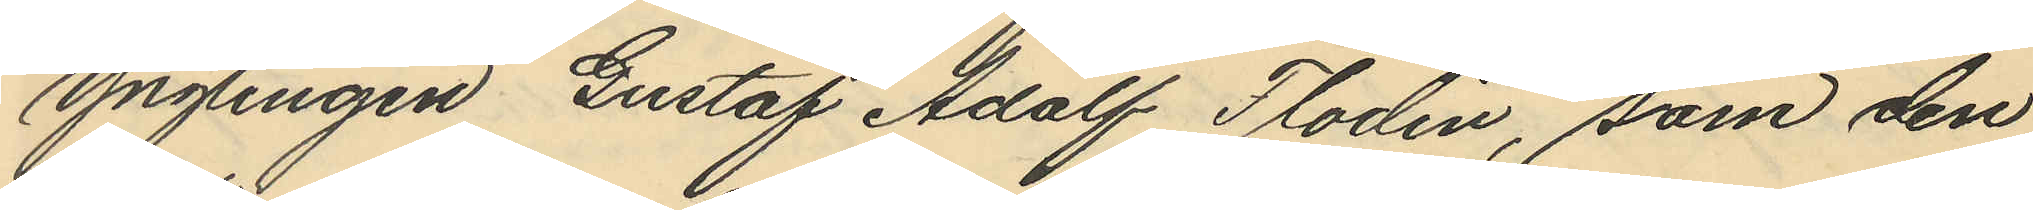ynglingen Gustaf Adolf Flodin, som den
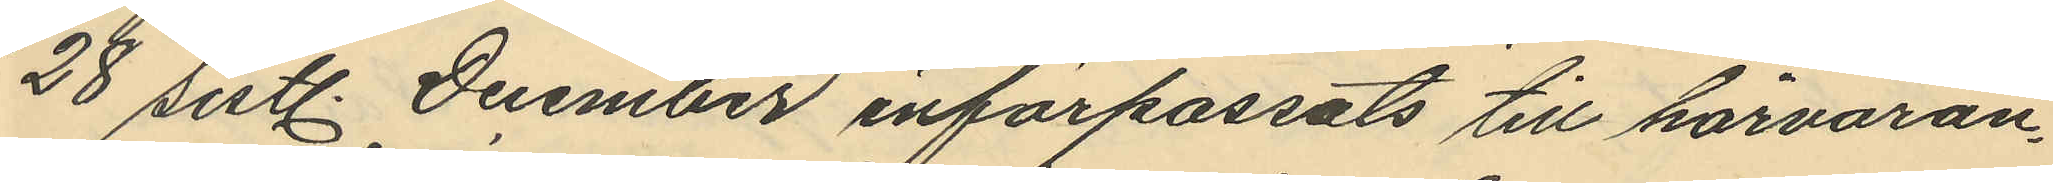28 sistl. December införpassats till härvaran¬
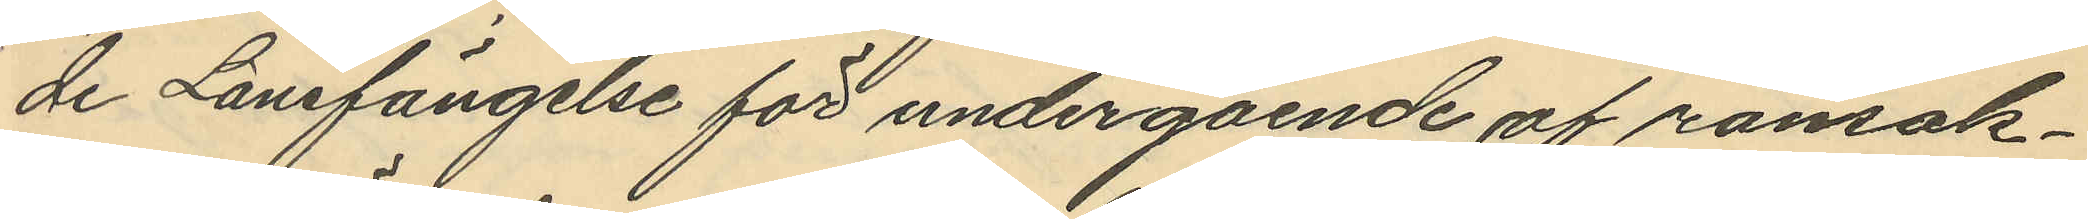de Länsfängelse för undergående af ransak¬
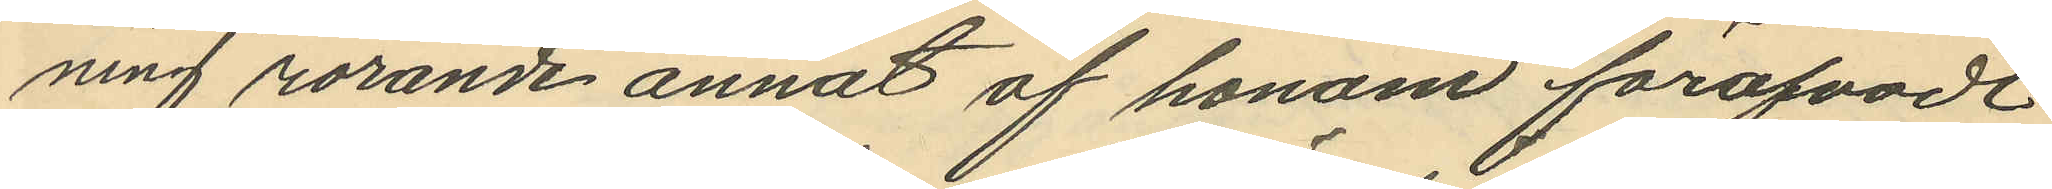ning rörande annat af honom föröfvadt
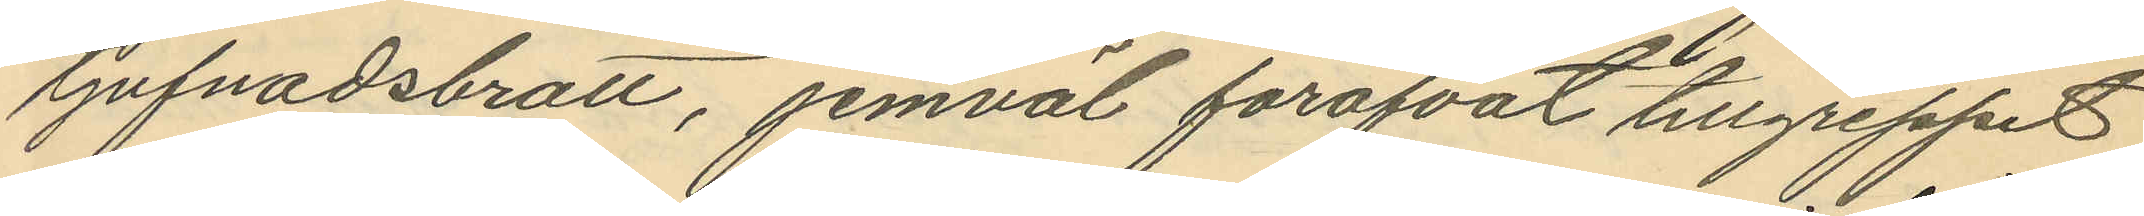tjufnadsbrott, jemväl föröfvat tillgreppet
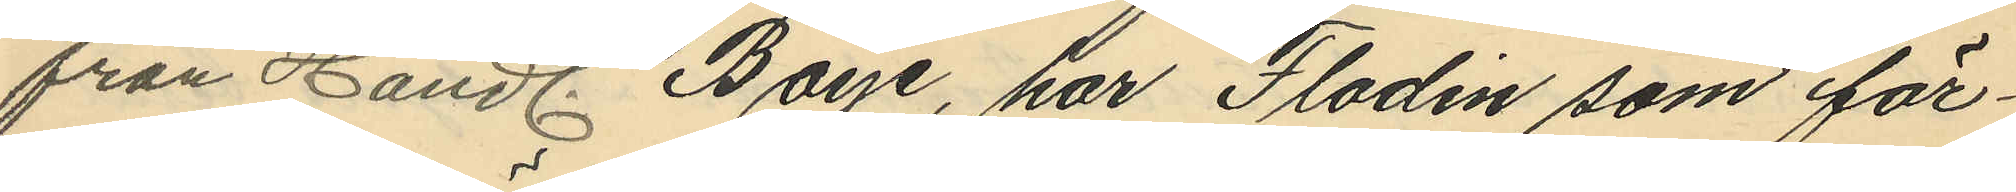från Handl. Boye, har Flodin som för¬
